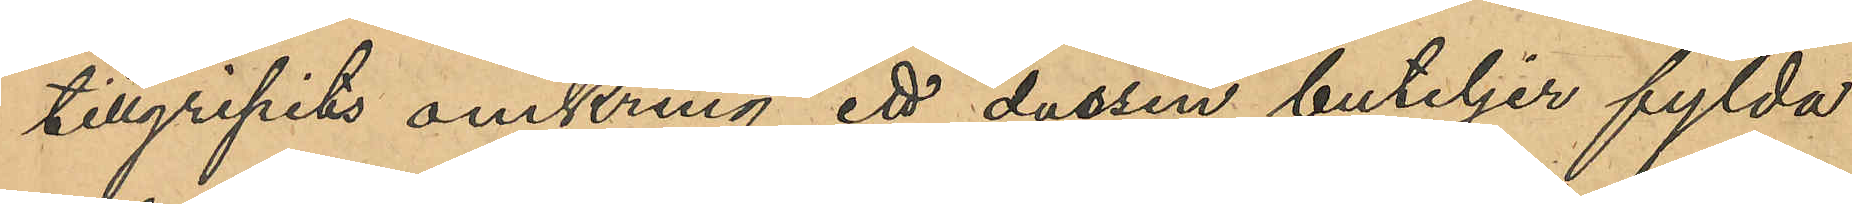tillgripits omkring ett dussin buteljer fylda
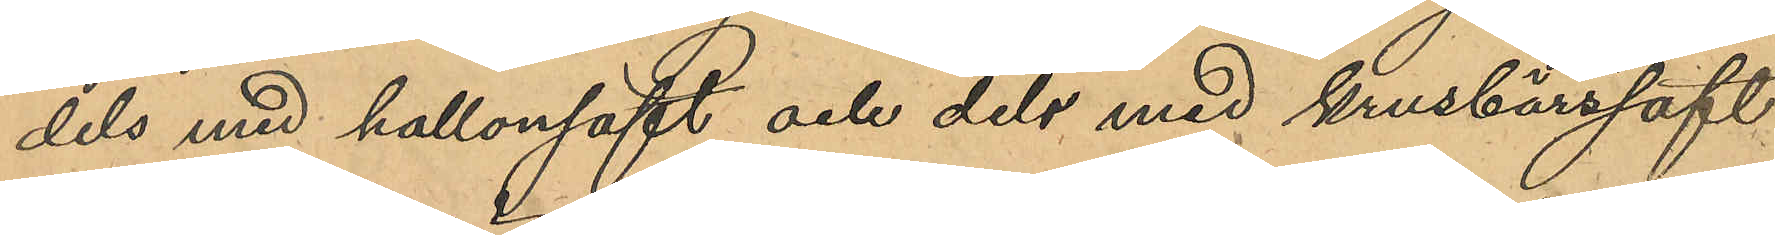dels med hallonsaft och dels med krusbärssaft
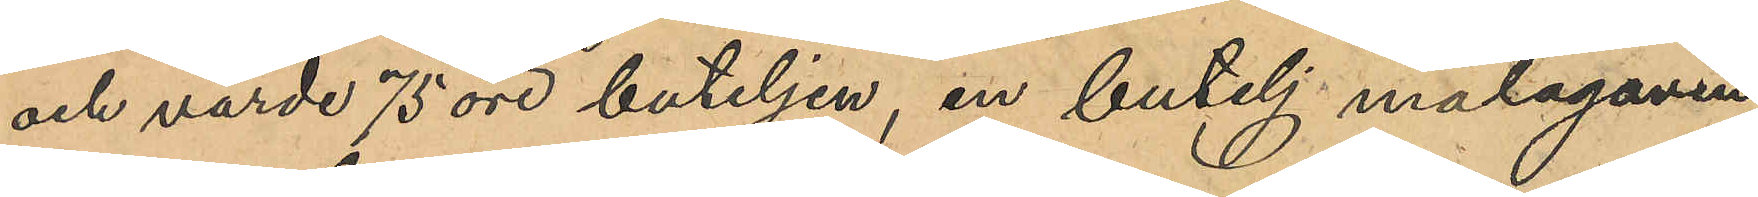och värde 75 öre buteljen, en butelj malagavin,
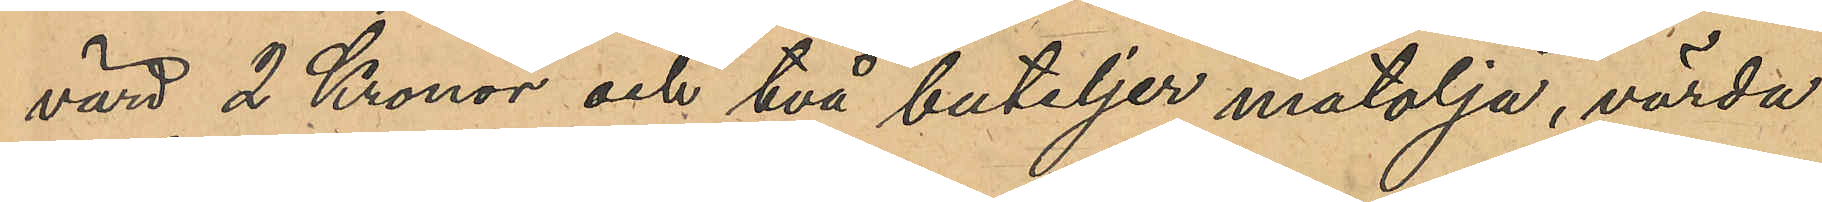värd 2 Kronor och två buteljer matolja, värda
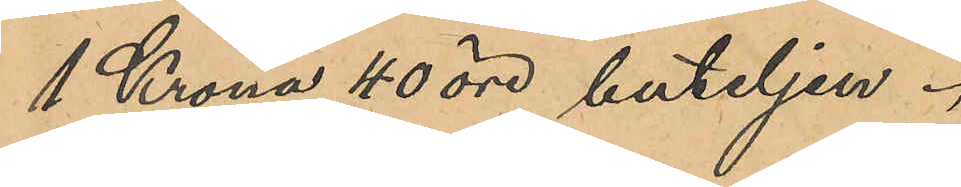1 Krona 40 öre buteljen.
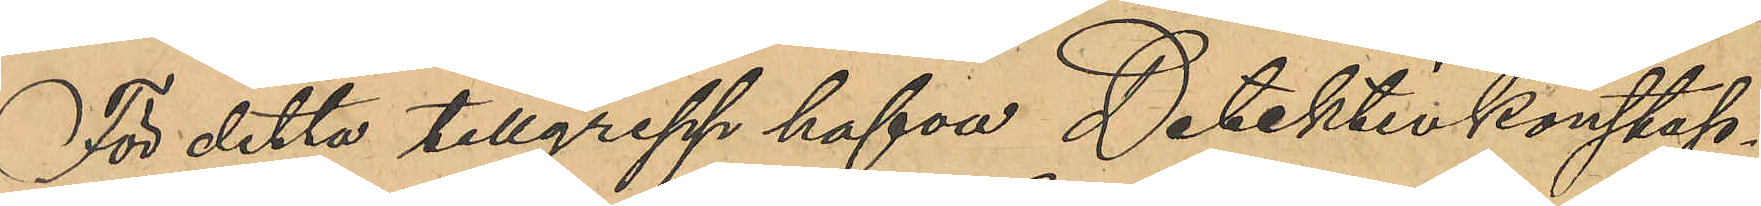För detta tillgrepp hafva Detektivkonstap¬
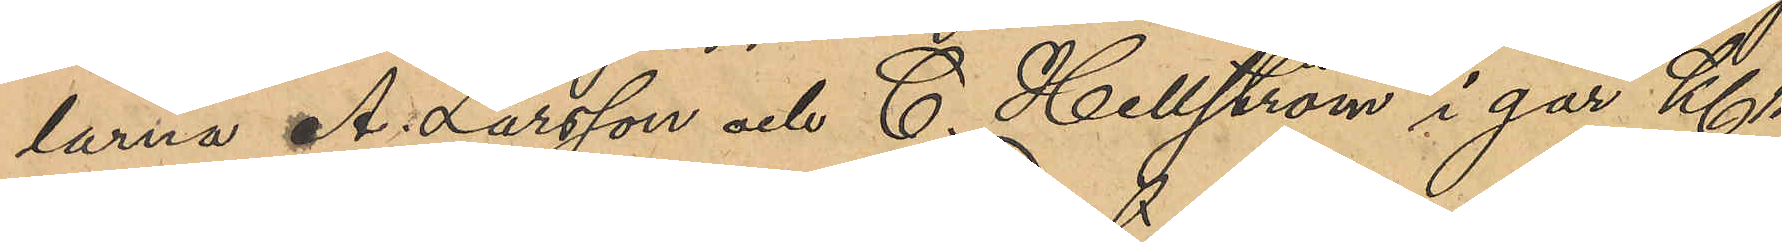larna A. Larsson och C. Hellström igår Kl 11
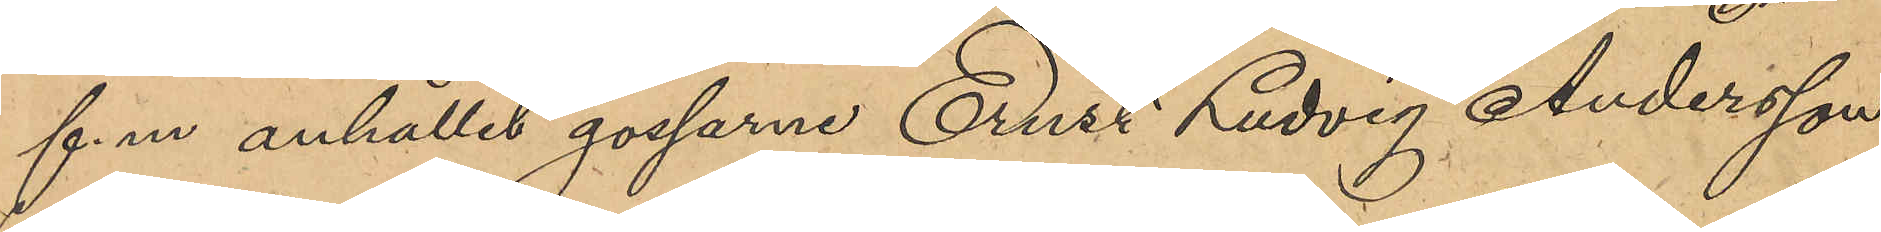f. m anhållit gossarna Ernst Ludvig Andersson
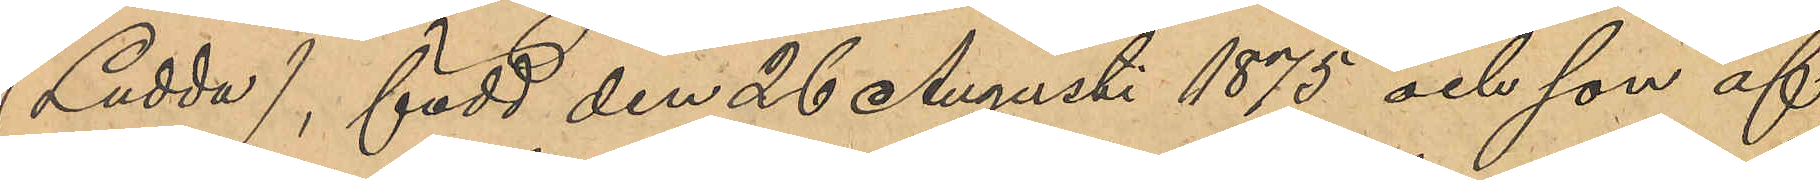(Ludda), född den 26 August 1875 och son af
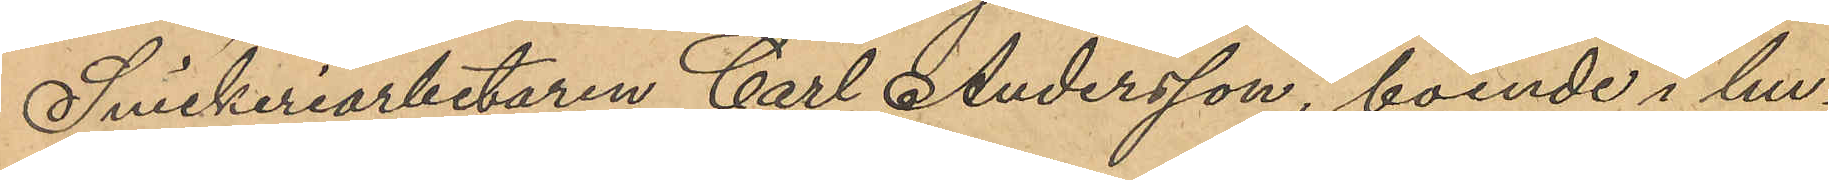Snickeriarbetaren Carl Andersson, boende i hu¬
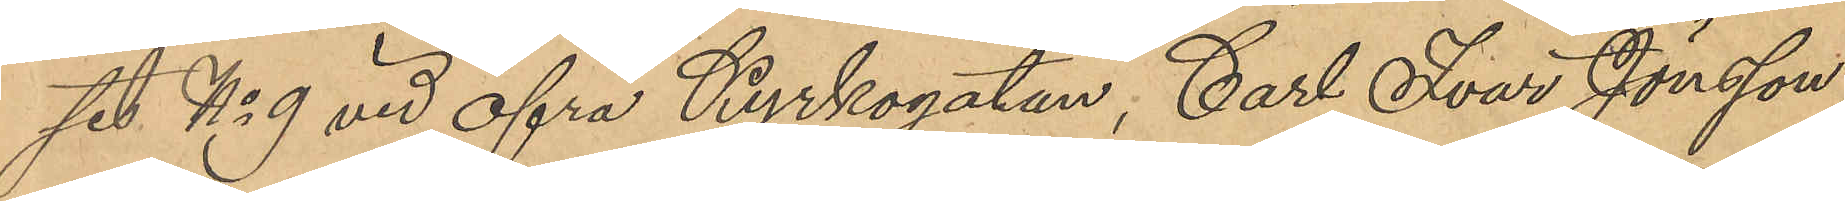set No 9 vid öfra Kyrkogatan, Carl Ivar Jönsson
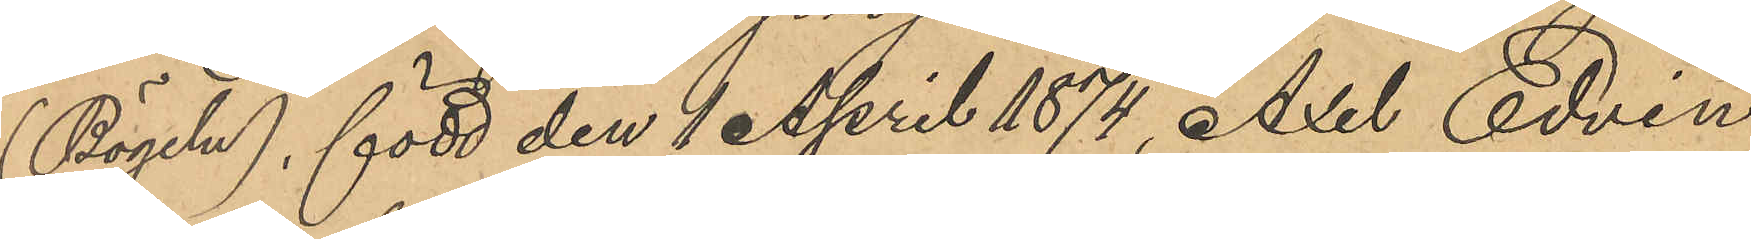(Bögeln), född den 1 April 1874, Axel Edvin
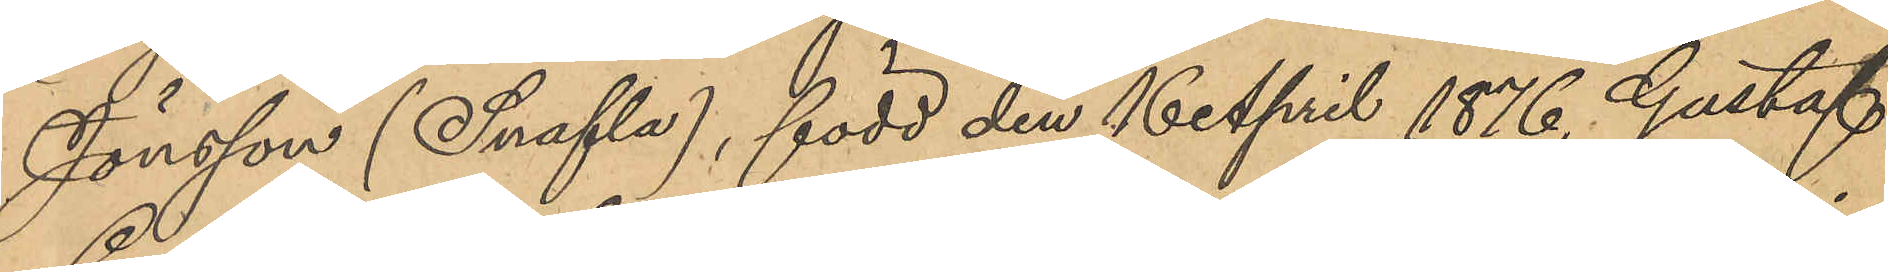Jönsson (Snafla), född den 16 April 1876, Gustaf
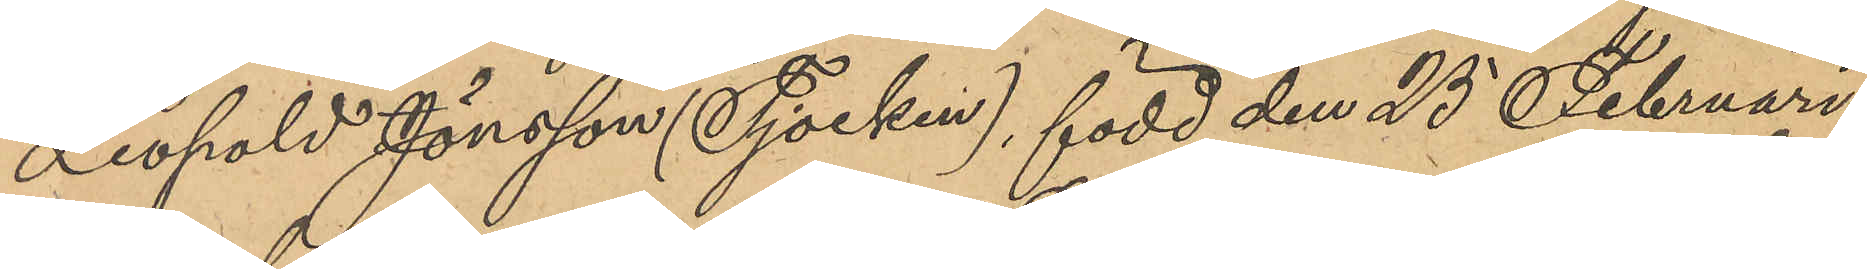Leopold Jönsson (Tjocken), född den 25 Februari
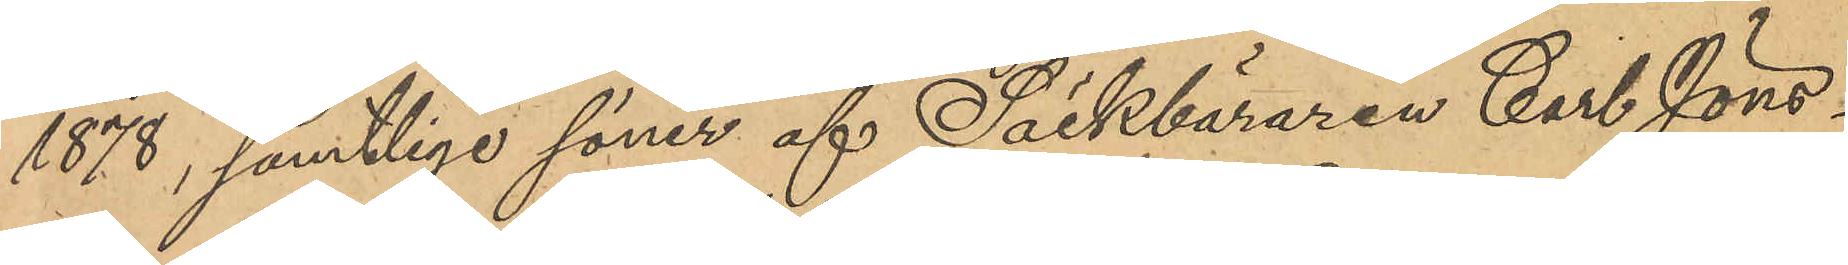1878, samtliga söner af Säckbäraren Carl Jöns¬
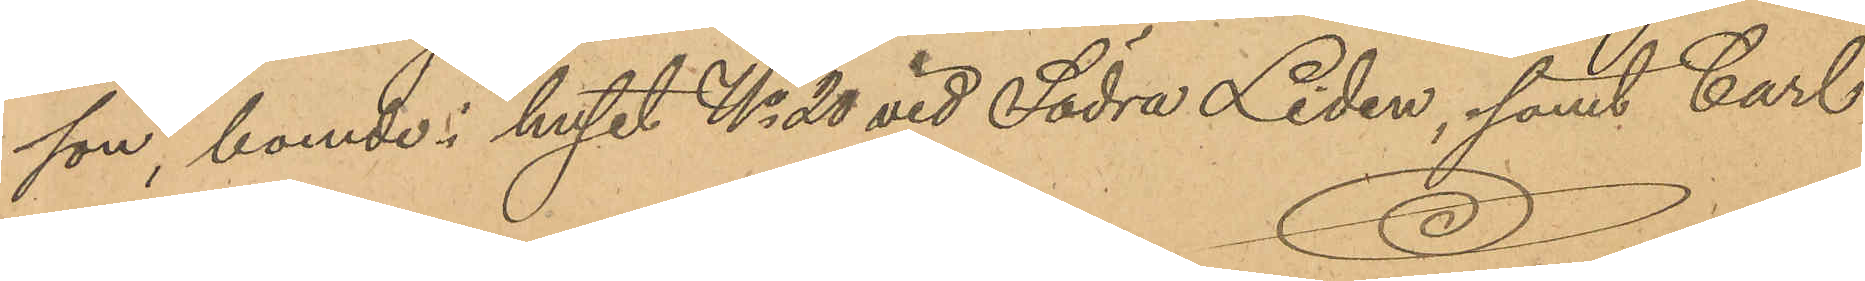son, boende i huset No 20 vid Södra Liden, samt Carl
